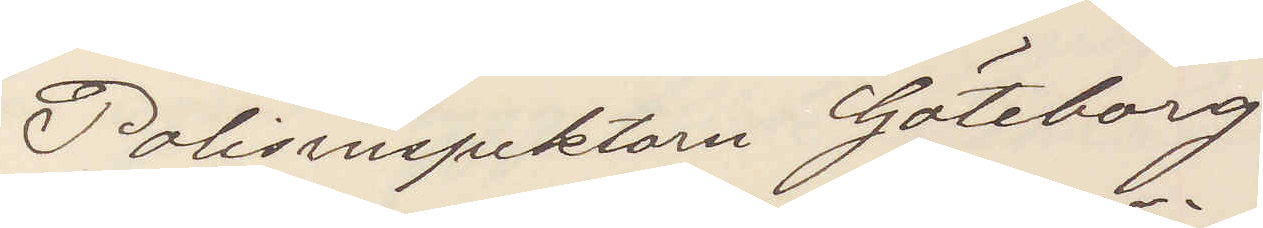Polisinspektorn Göteborg
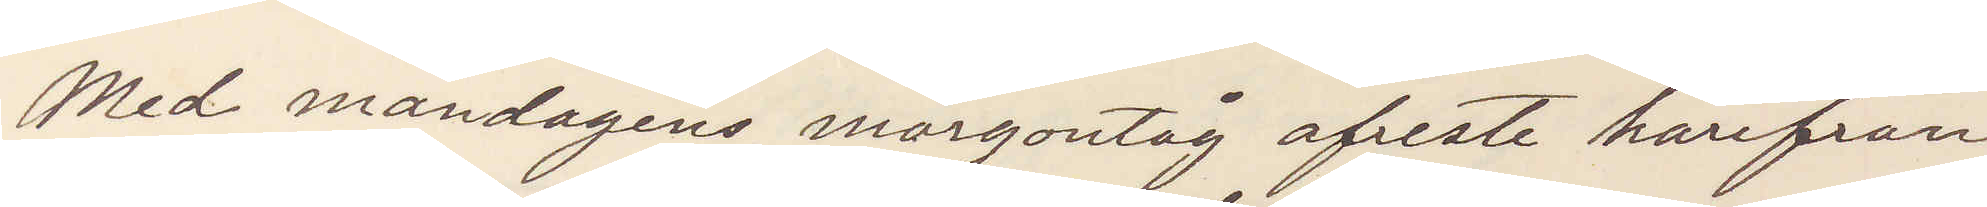Med måndagens morgontåg afreste härifrån
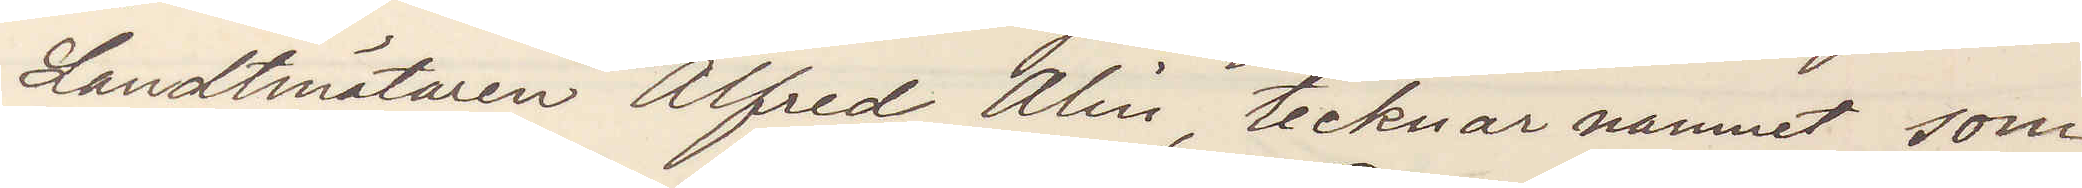Landtmätaren Alfred Alin, tecknar namnet som
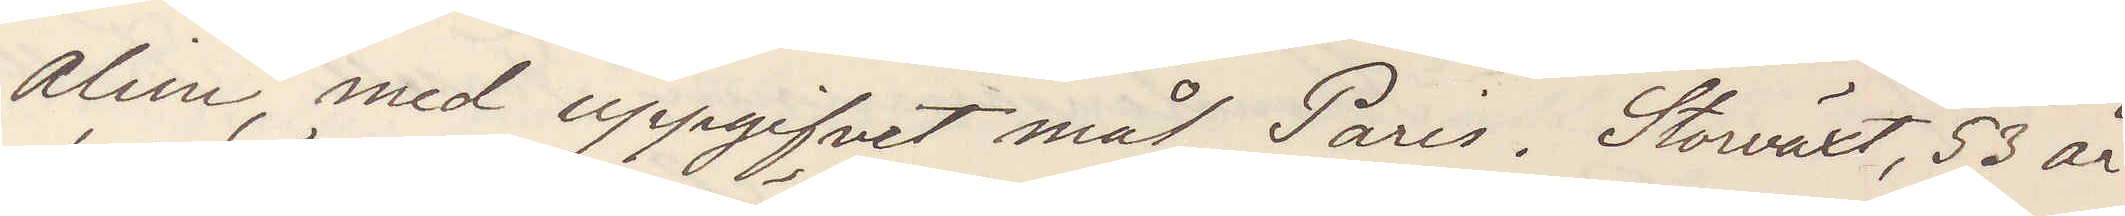Alini, med uppgifvet mål Paris. Storväxt, 53 år
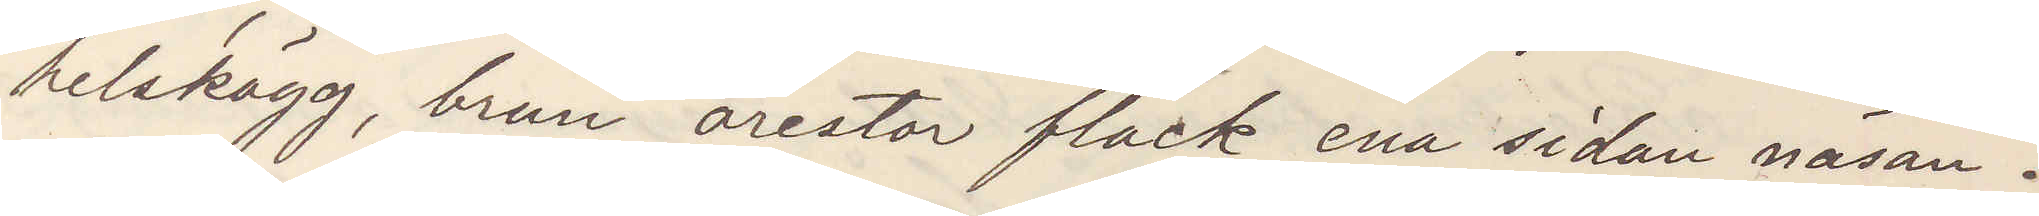helskägg, brun örestor fläck ena sidan näsan.
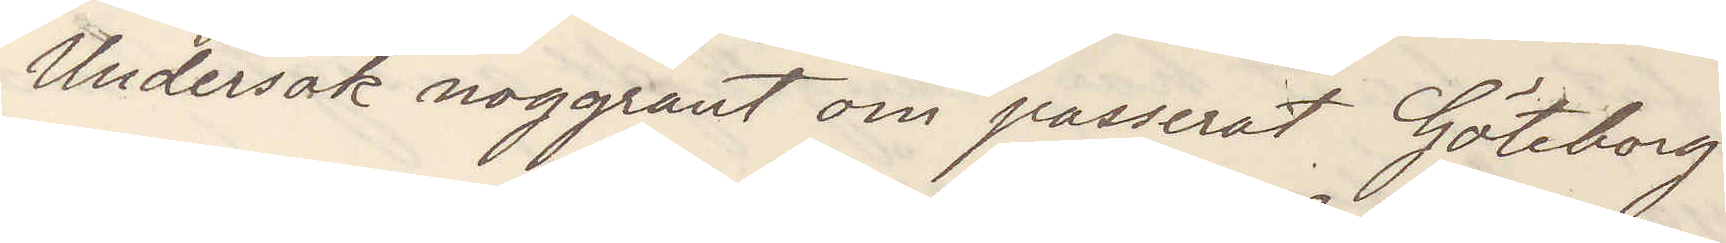Undersök noggrant om passerat Göteborg
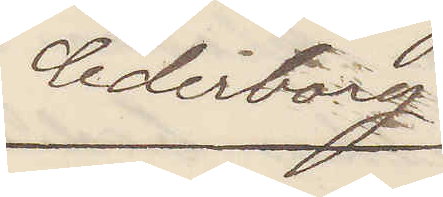Cederborg
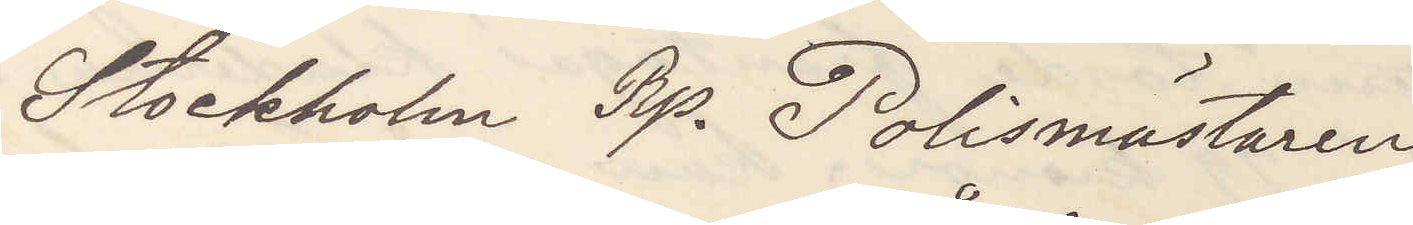Stockholm Rp. Polismästaren
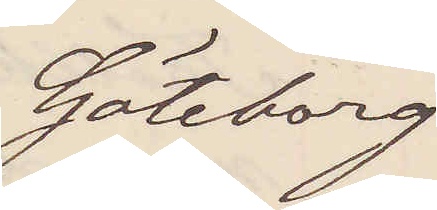Göteborg
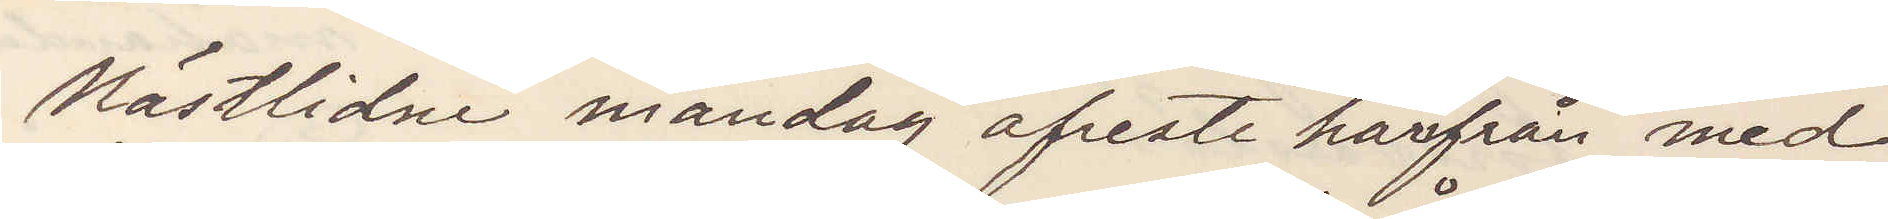Nästlidne måndag afreste härifrån med
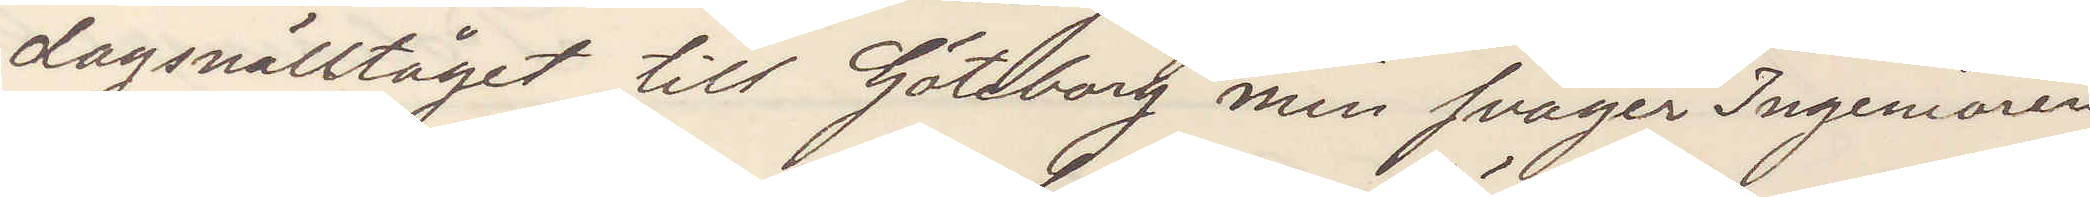dagsnälltåget till Göteborg min svåger Ingeniören
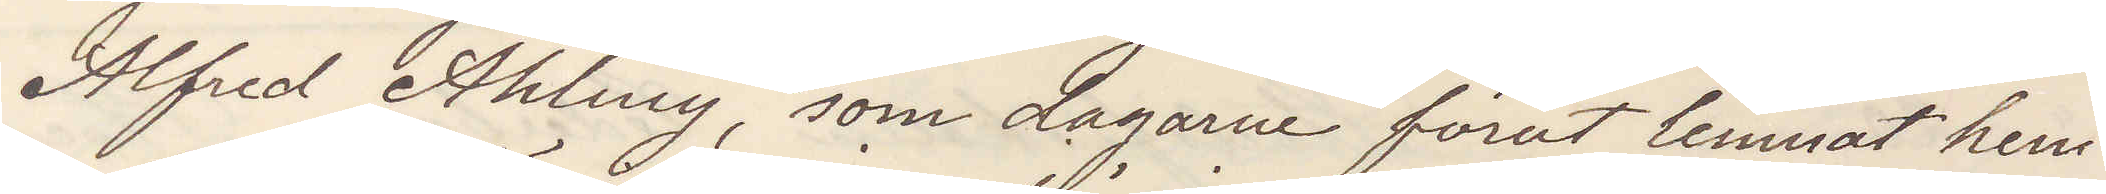Alfred Ahling, som dagarne förut lemnat hem¬
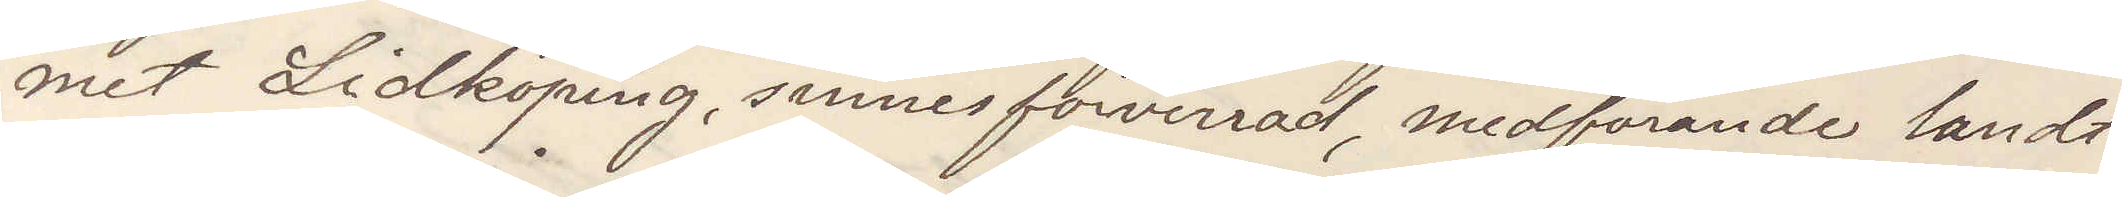met Lidköping, sinnesförvirrad, medförande landt¬
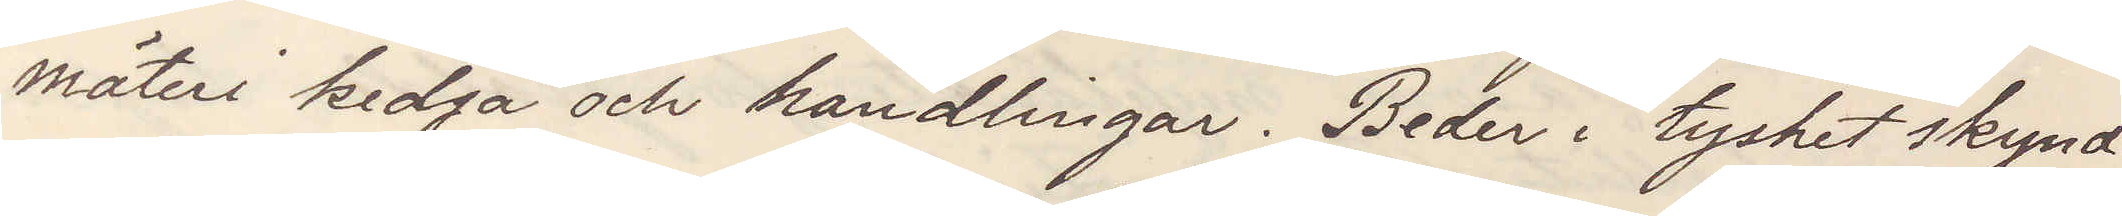mäteri kedja och handlingar. Beder i tysthet skynd¬
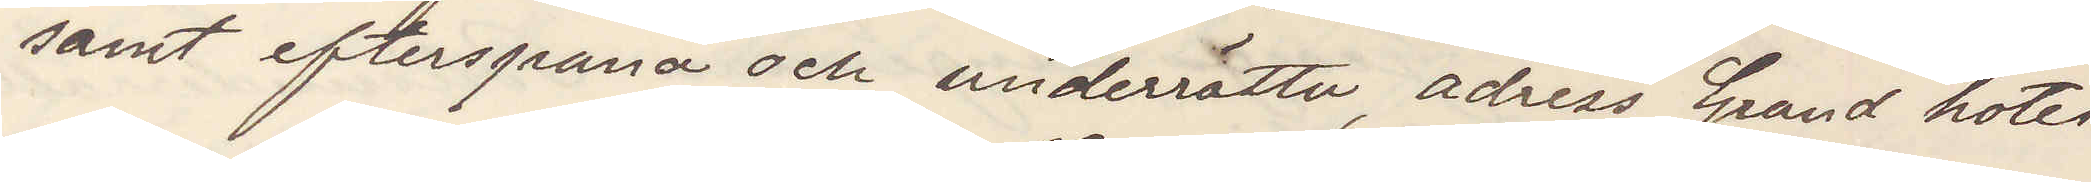samt efterspana och underrätta, adress Grand hotell
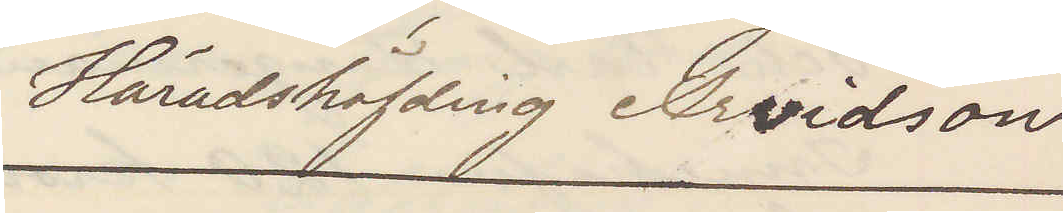Häradshöfvding Arvidson
